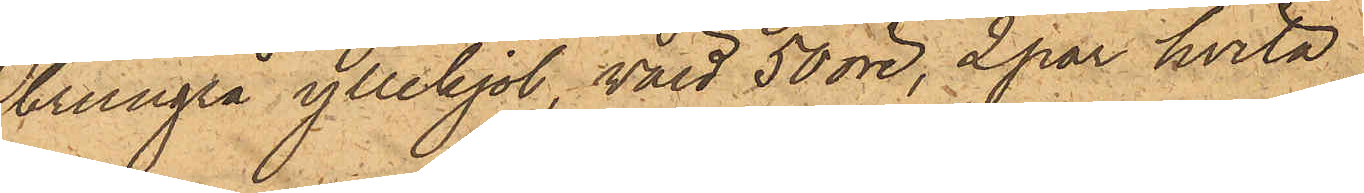brungrå yllekjol, värd 50 öre, 2 par hvita
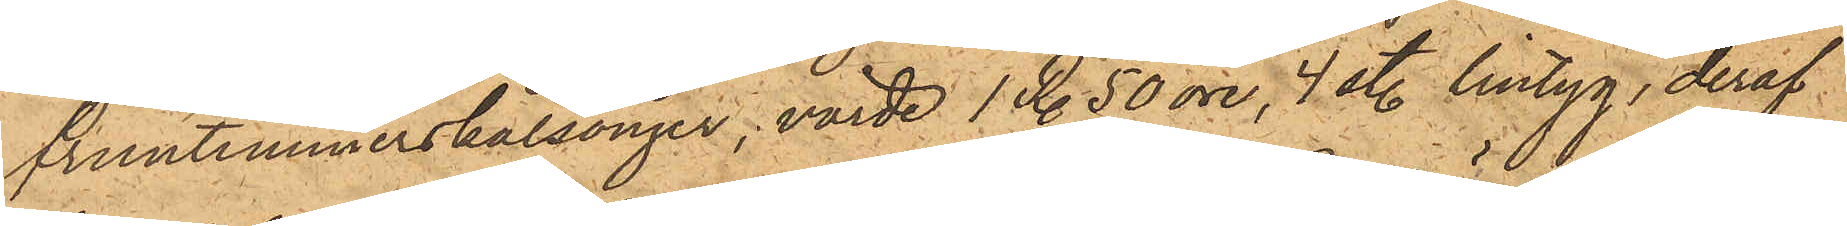fruntimmerskalsonger, värde 1 Rdr 50 öre, 4 sty. lintyg, deraf
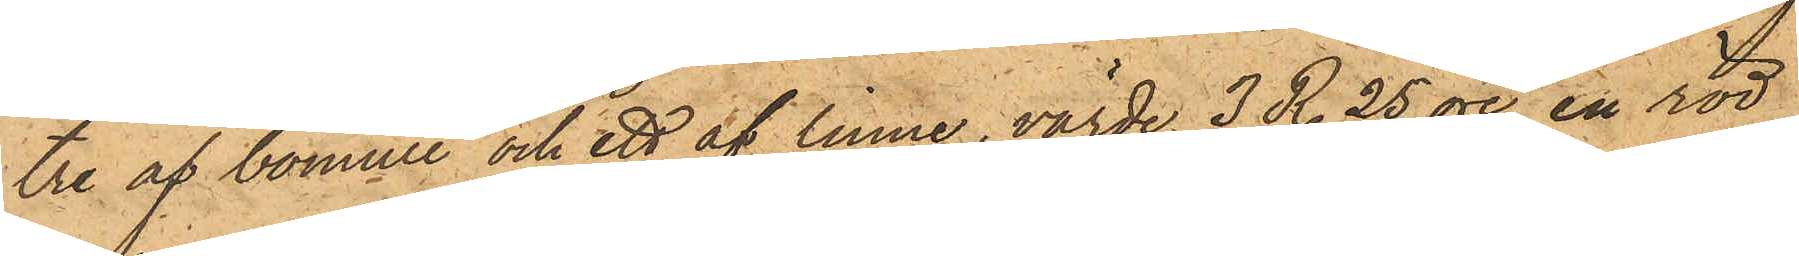tre af bomull och ett af linne, värde 3 Rdr 25 öre, en röd
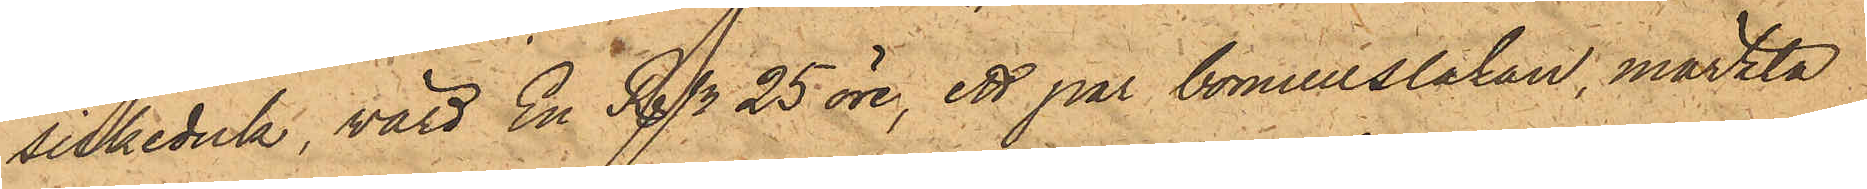silkeduk, värd En Rdr 25 öre, ett par bomullslakan, märkta
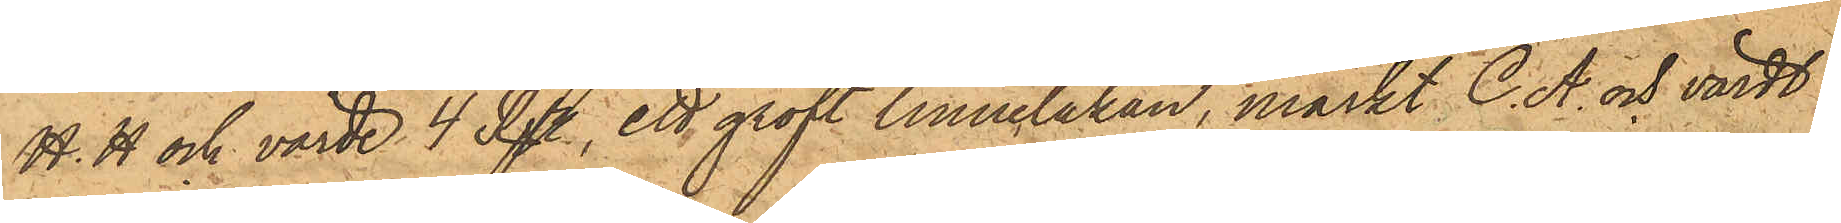H.H och värde 4 Rdr, ett groft linnelakan, märkt C. A. och värdt
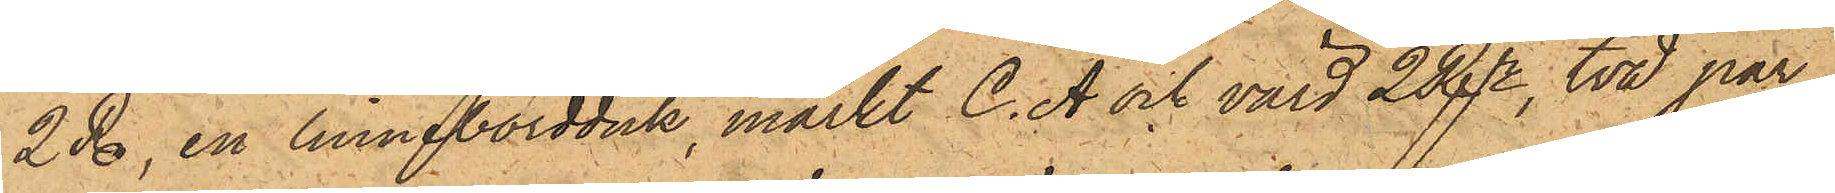2 Rdr, en linnebordduk, märkt C. A och värd 2 Rdr, två par
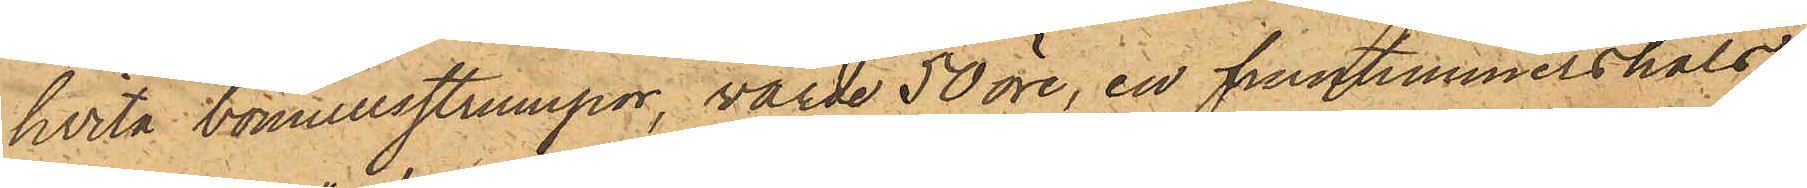hvita bomullsstrumpor, värde 50 öre, en fruntimmershals¬
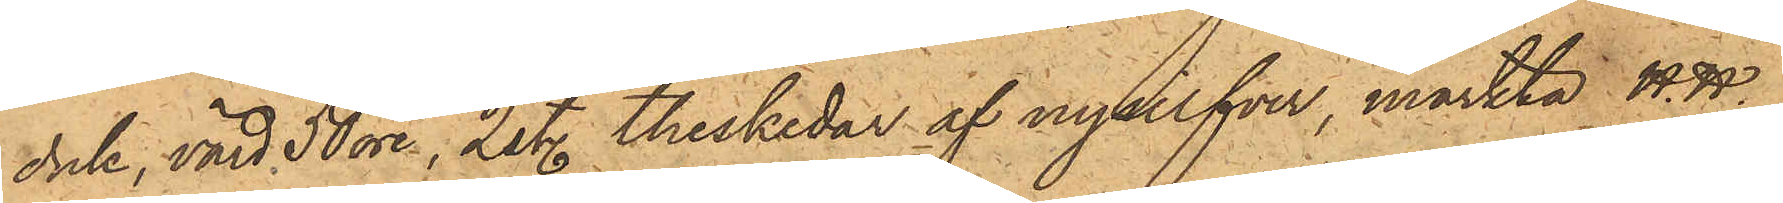duk, värd 50 öre, 2 sty. theskedar af nysilfver, märkta  H.H.
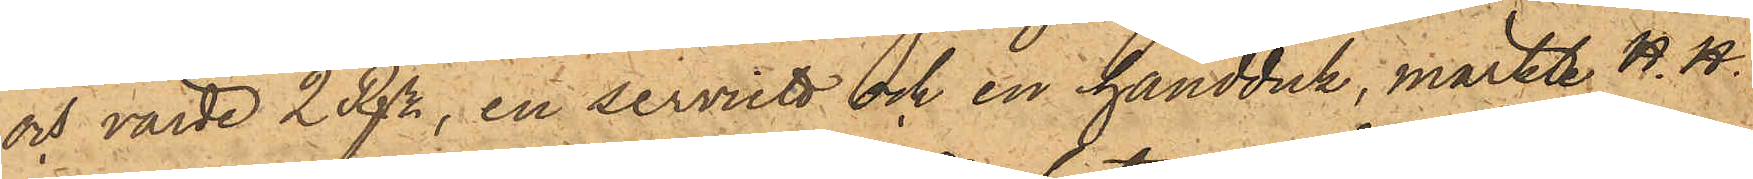och värde 2 Rdr, en serviett och en handduk, märkte H. H.
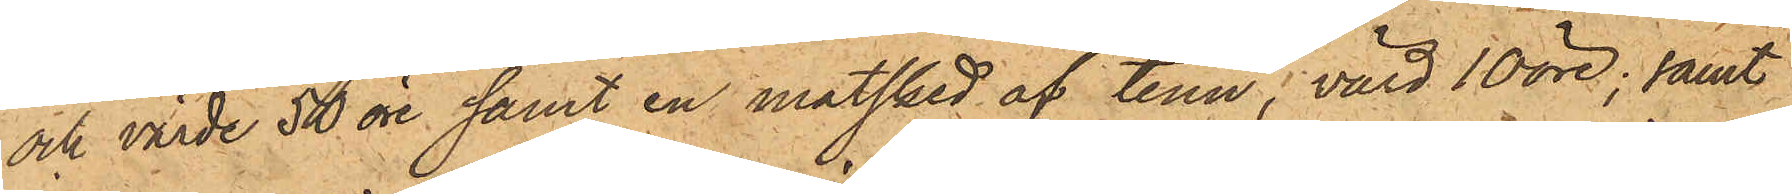och värde 50 öre samt en matsked af tenn, värd 10 öre; samt
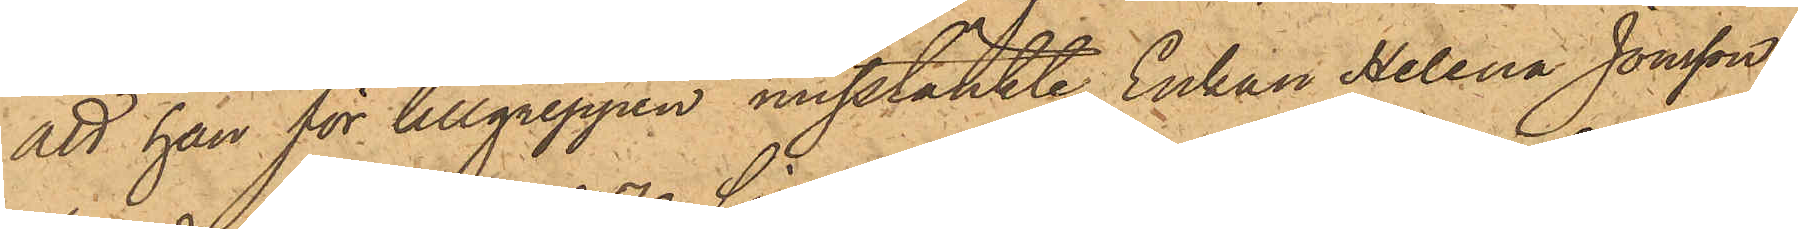att han för tillgreppen misstänkte Enkan Helena Jonsson,
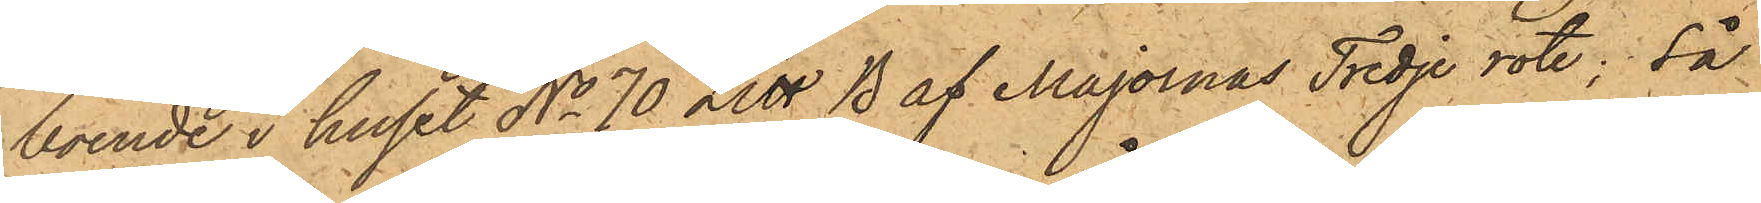boende i huset No 70 Litt B af Majornas Tredje rote; så
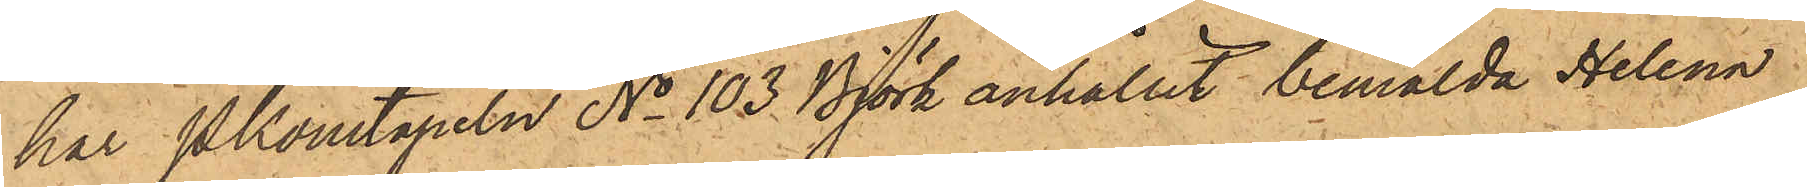har Pkonstapeln No 103 Björk anhållit bemälda Helena
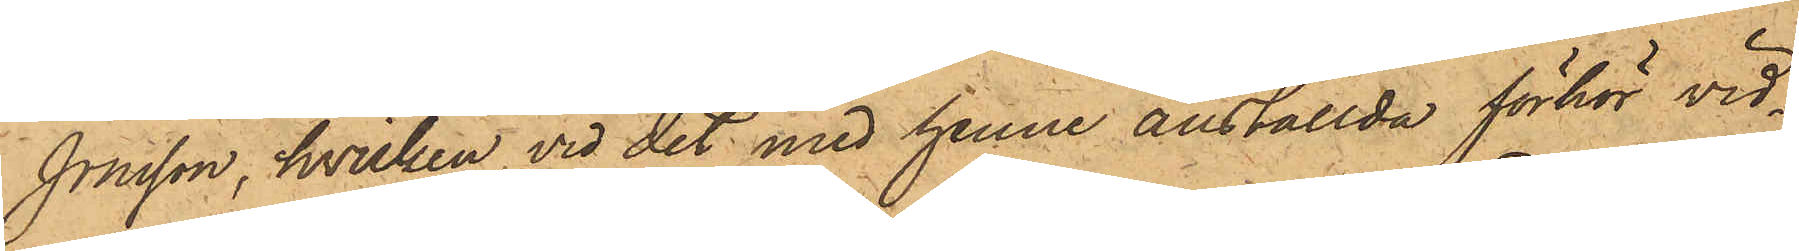Jonsson, hvilken vid det med henne anställde förhör vid¬
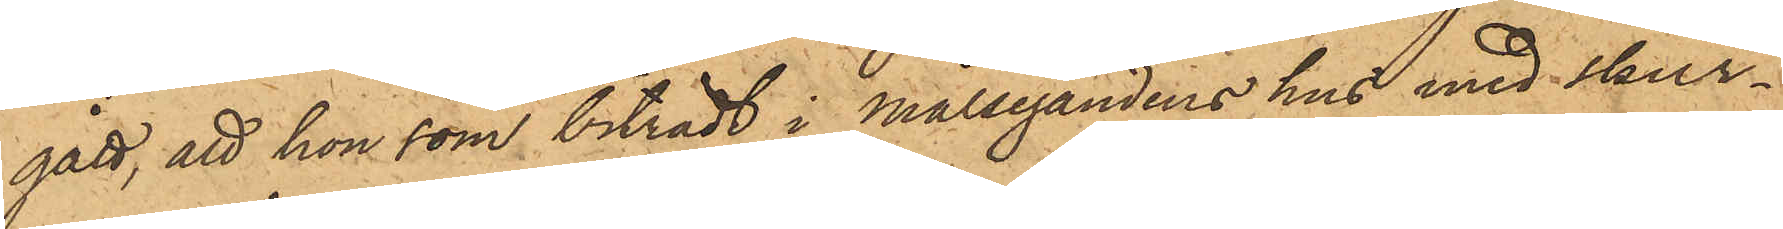gått, att hon som biträdt i Målsegandens hus med skur¬
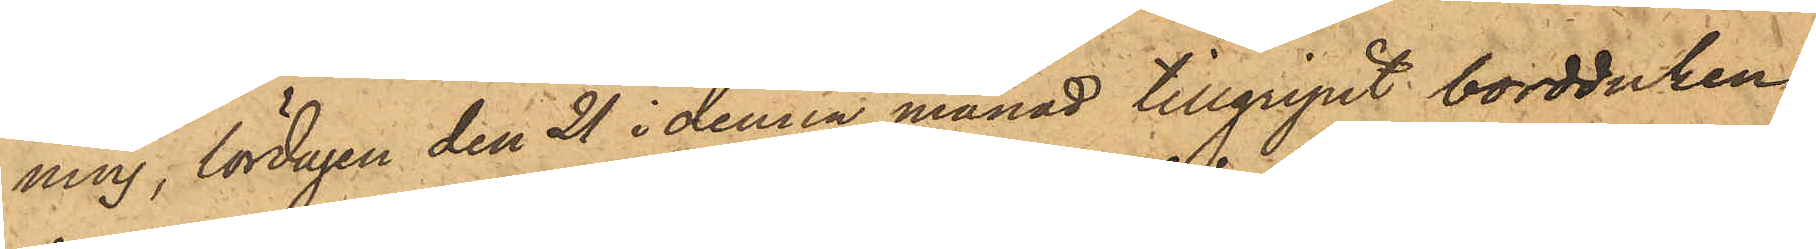ning, lördagen den 21 i denna månad tillgripit bordduken,
